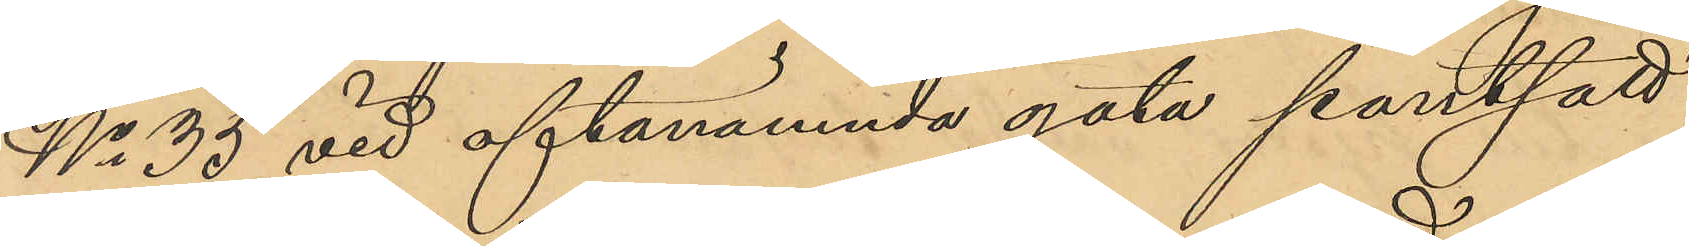No 35 vid oftanämnda gata pantsatt
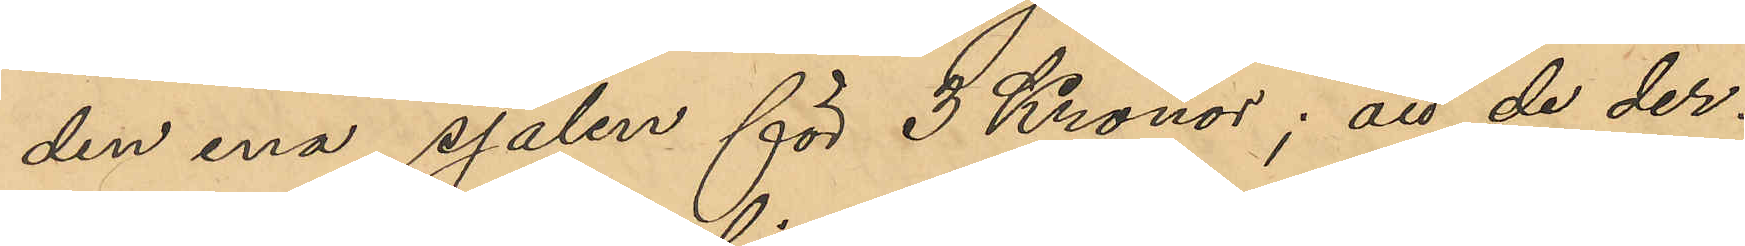den ena sjalen för 3 Kronor; att de der¬
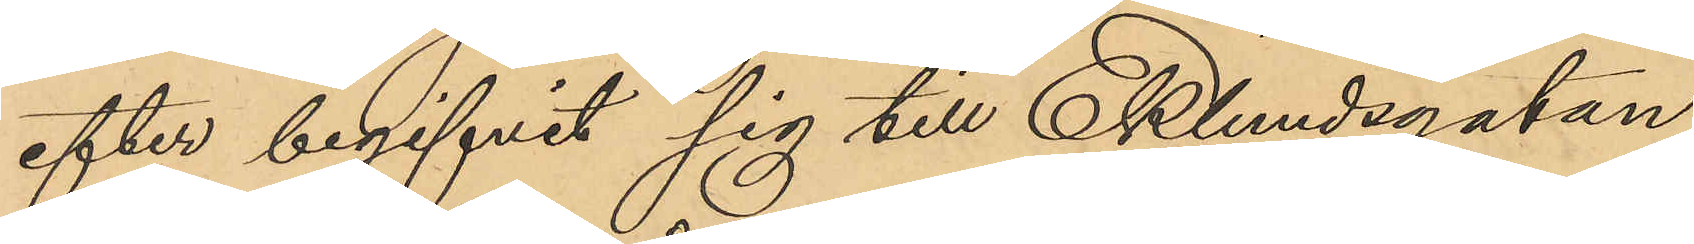efter begifvit sig till Eklundsgatan,
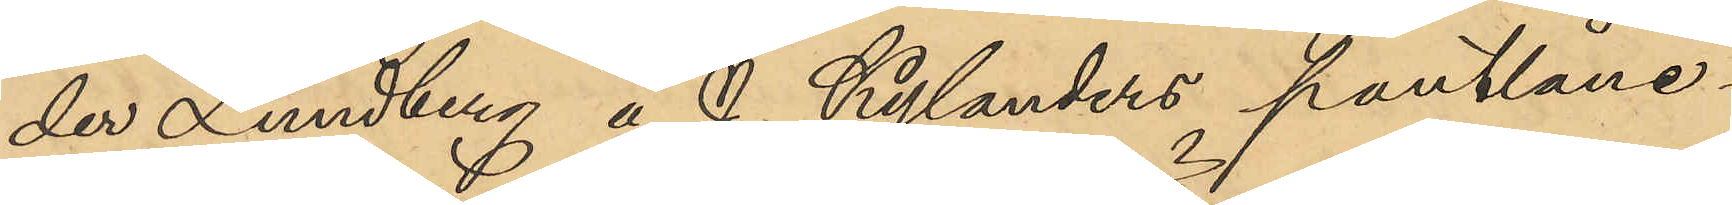der Lundberg å J. Kylanders pantlåne¬
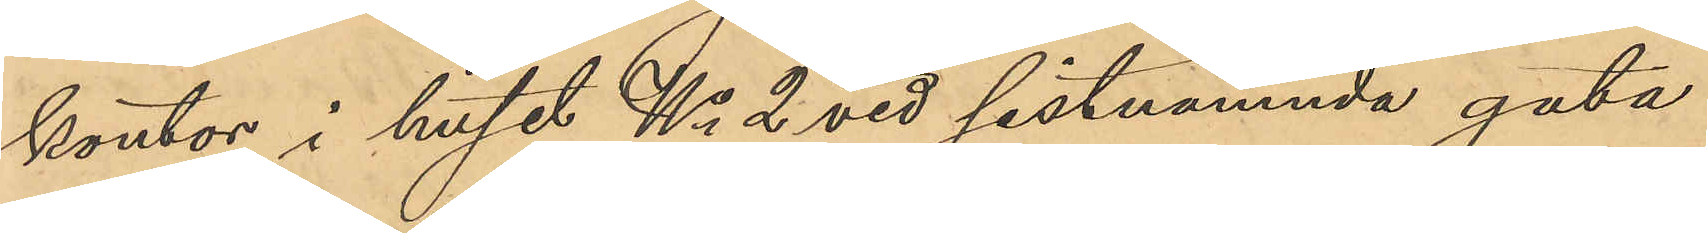kontor i huset No 2 vid sistnämnda gata
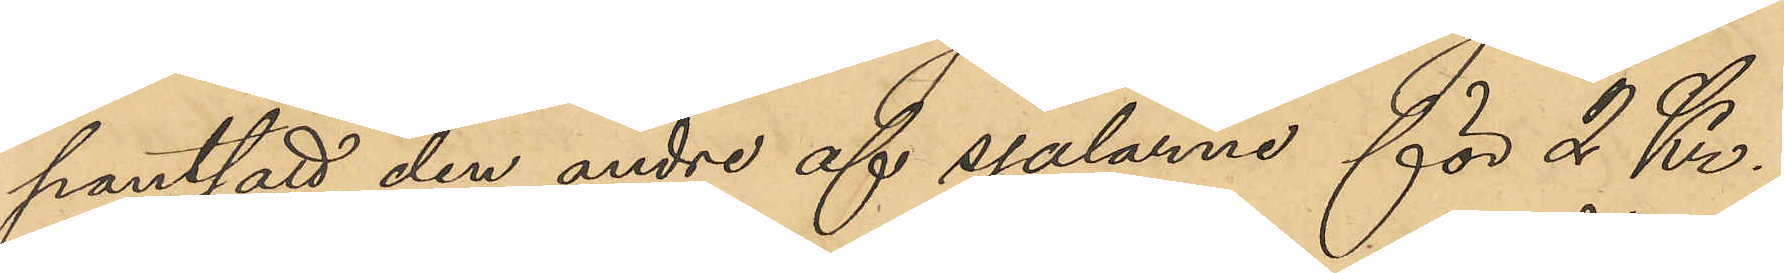pantsatt den andre af sjalarne för 2 Kr.;
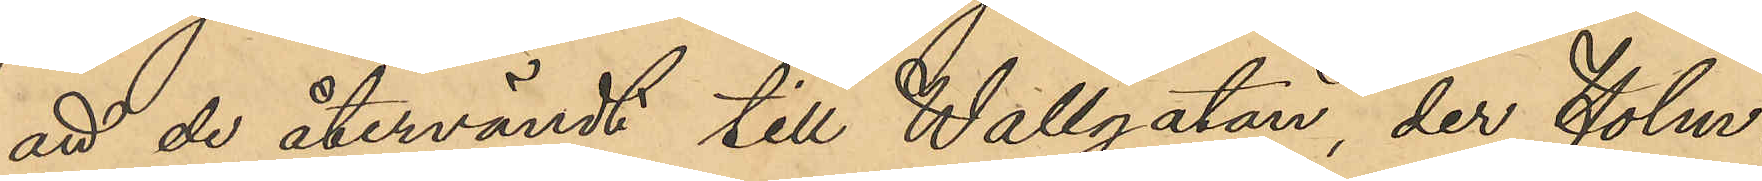att de återvändt till Wallgatan, der Holm¬
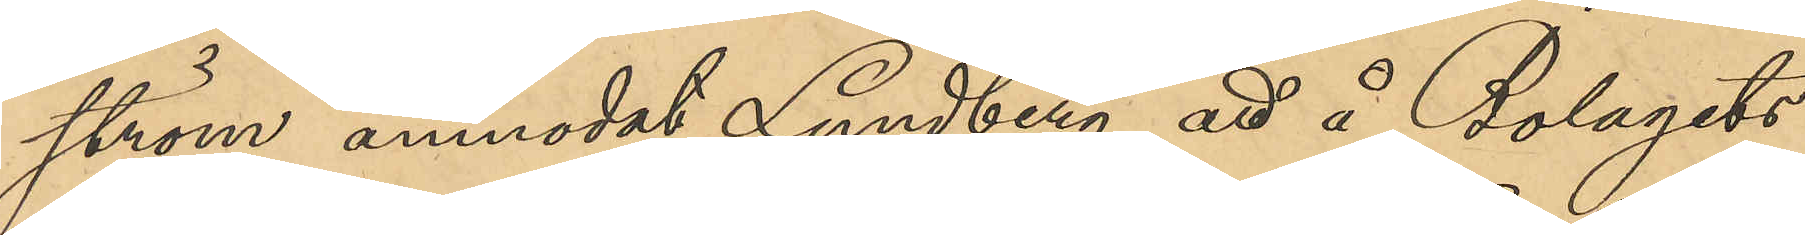ström anmodat Lundberg att å Bolagets
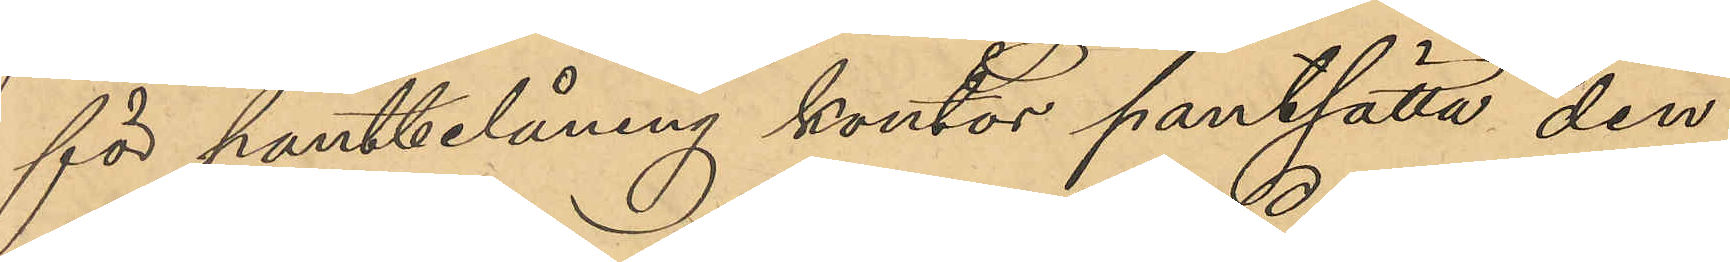för pantbelåning kontor pantsatta den
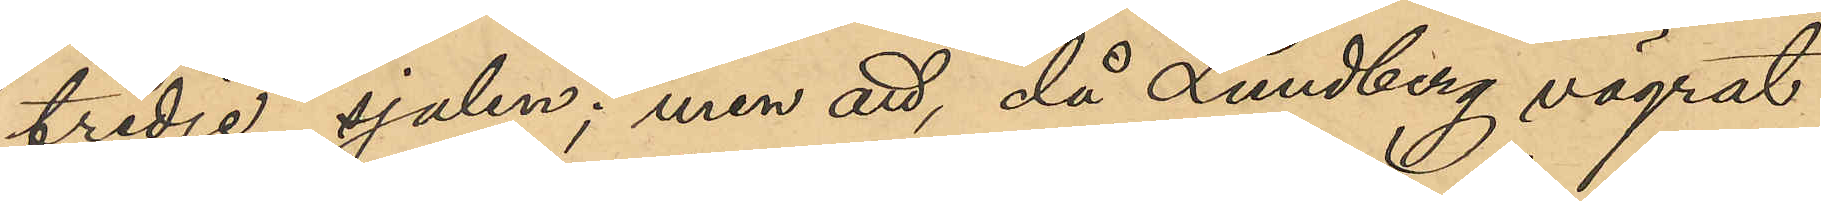tredje sjalen; men att, då Lundberg vägrat
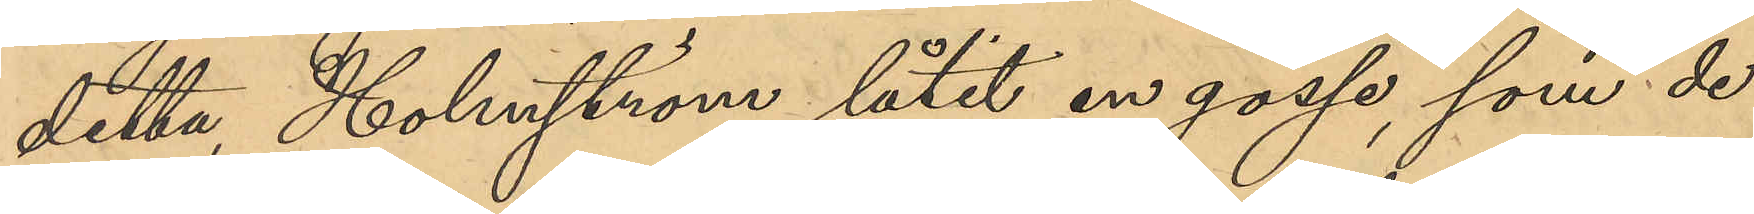detta, Holmström låtit en gosse, som de
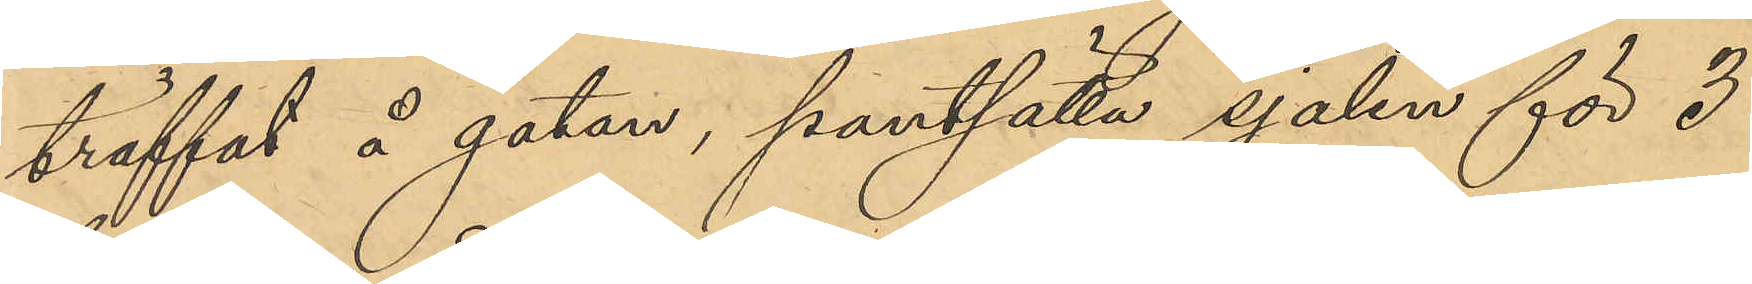träffat å gatan, pantsätta sjalen för 3
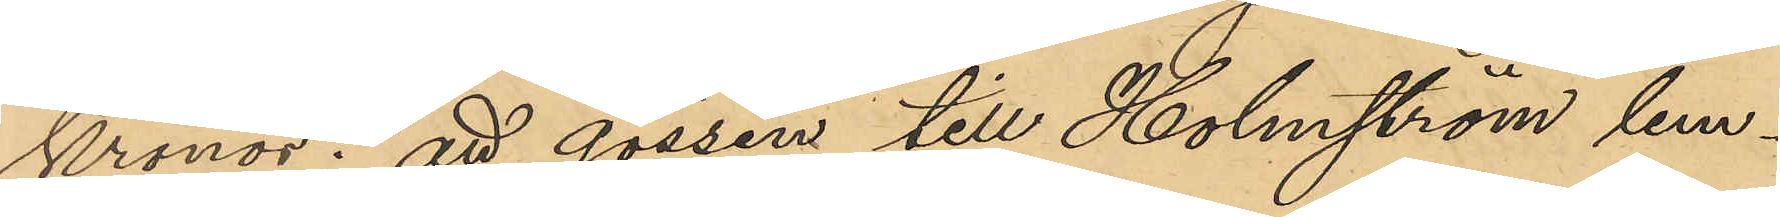Kronor; att gossen till Holmström lem¬
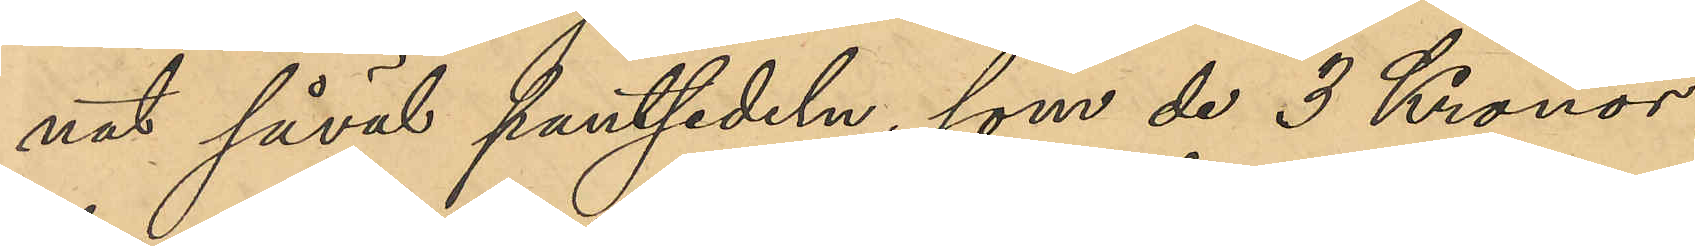nat såväl pantsedeln, som de 3 Kronor,
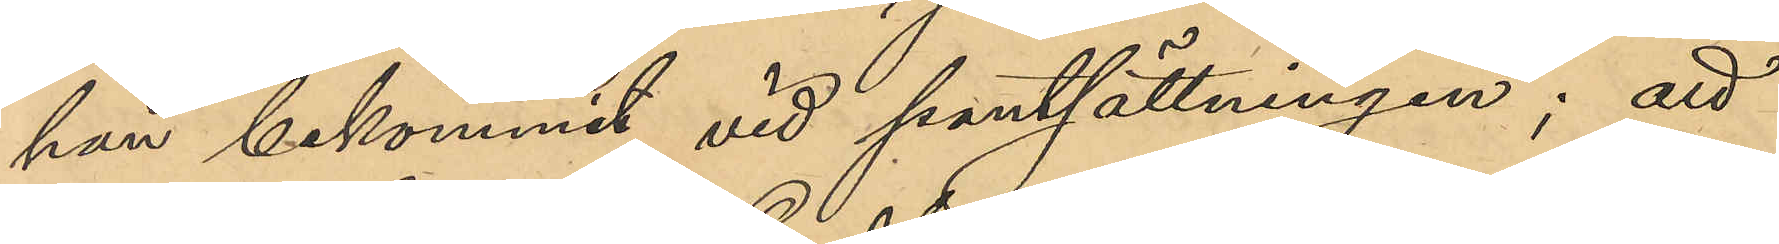han bekommit vid pantsättningen; att
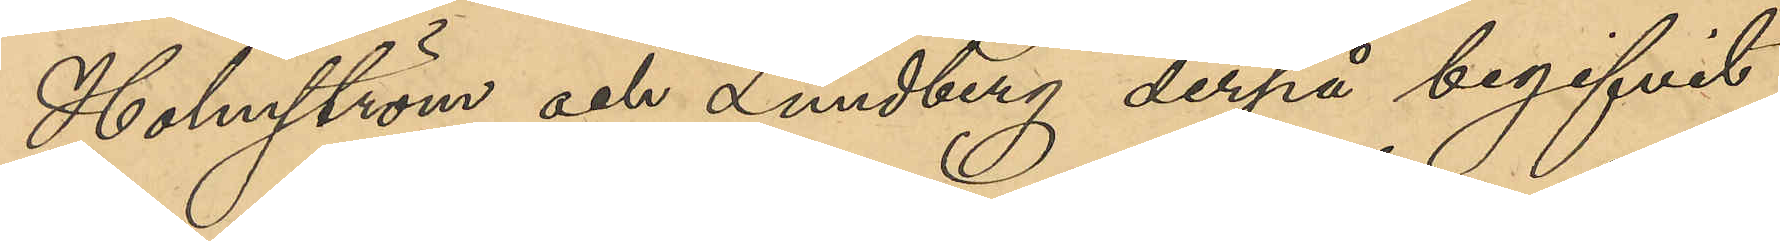Holmström och Lundberg derpå begifvit
